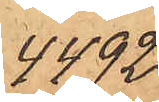4492
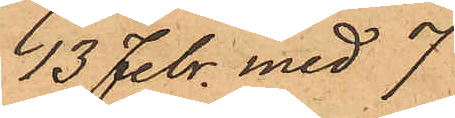13 Febr. med 7
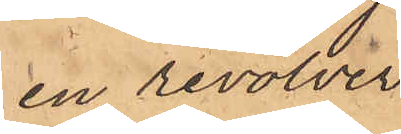en revolver
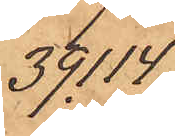39.114
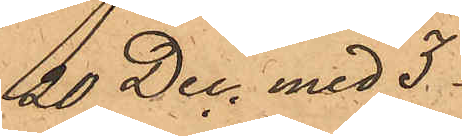20 Dec. med 3
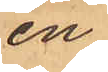en
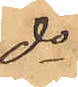do
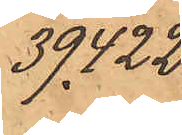39.422
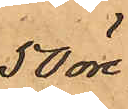50 öre
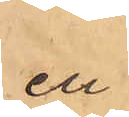en
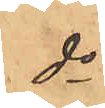do
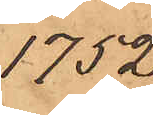1752
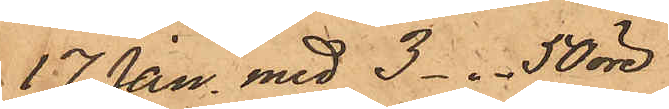17Jan. med 3-"- 50 öre
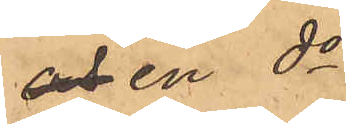och en do
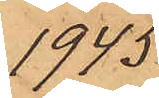1945
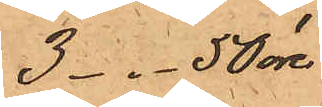3 -"- 50 öre
